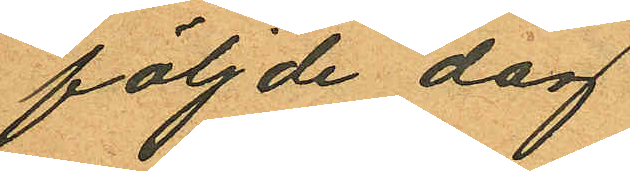följde dag
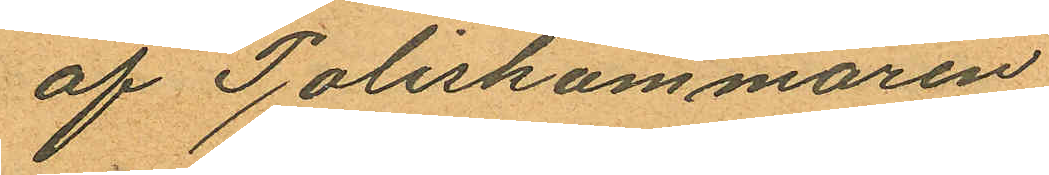af Poliskammaren
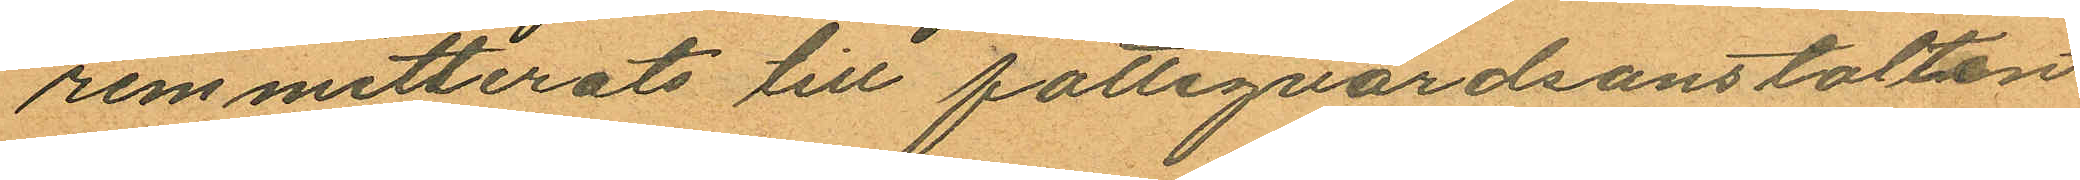remmitterats till fattigvårdsanstalten
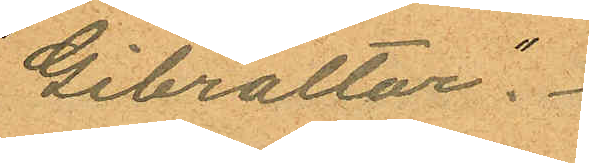"Gibraltar".
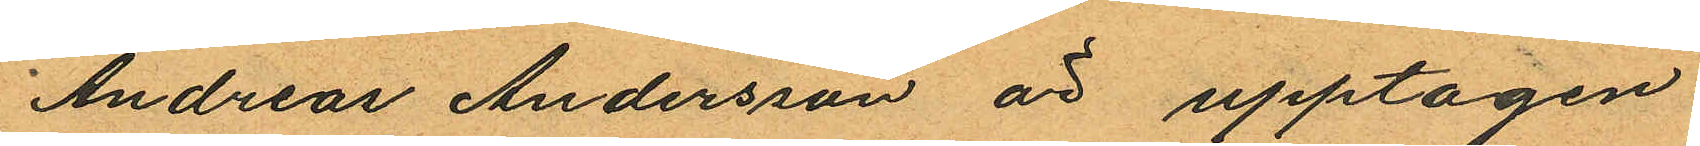Andreas Andersson är upptagen
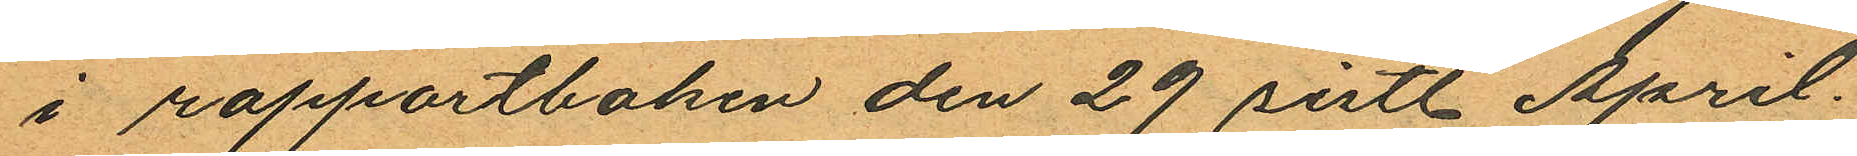i rapportboken den 29 sistl. April.
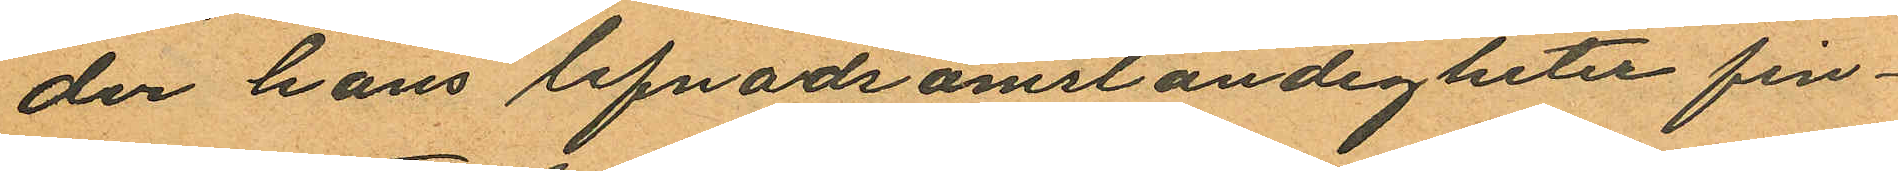der hans lefnadsomständigheter fin¬
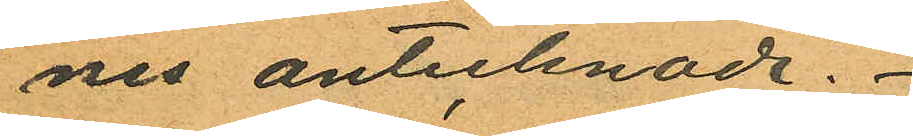nes antecknade.
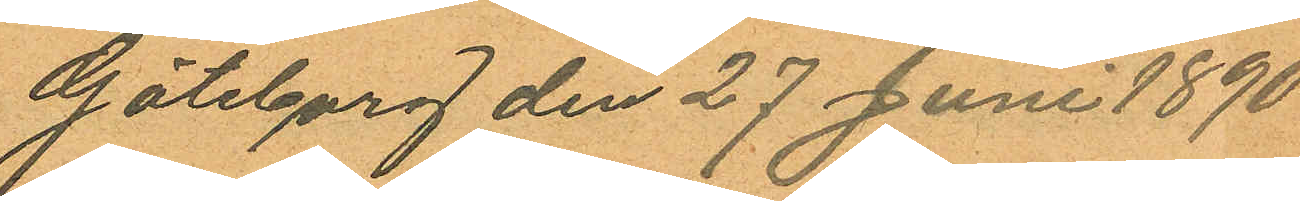Göteborg den 27 Juni 1890
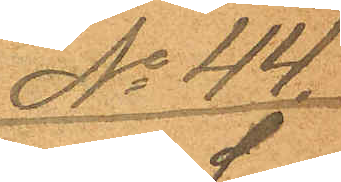No 44.
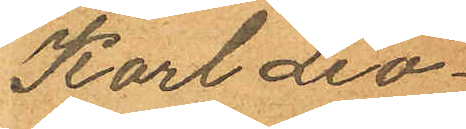Karl Leo¬
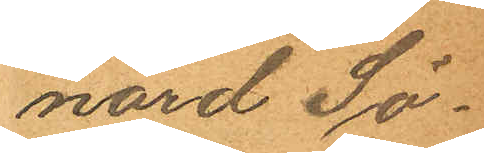nard Sö¬
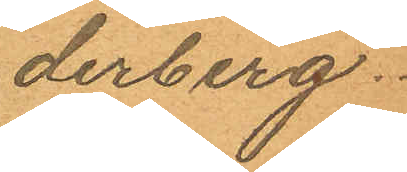derberg.
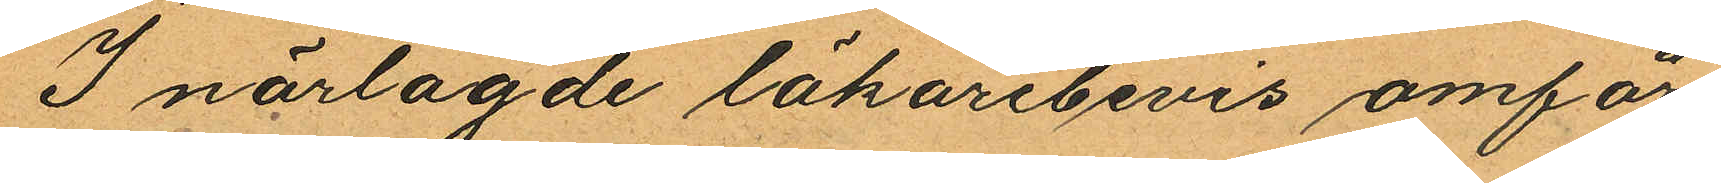I närlagde läkarebevis omför¬
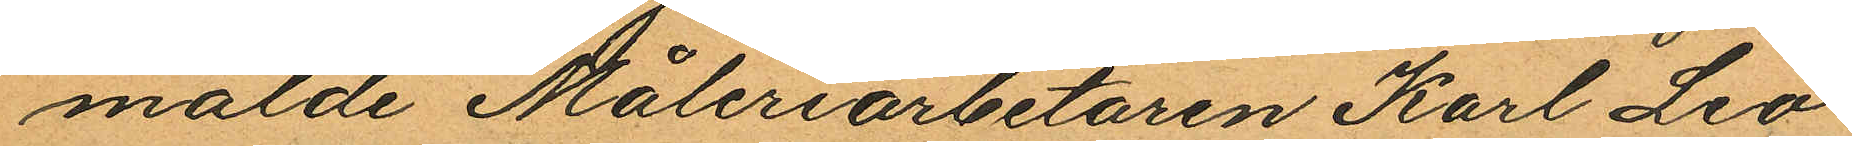mälde Måleriarbetaren Karl Leo¬
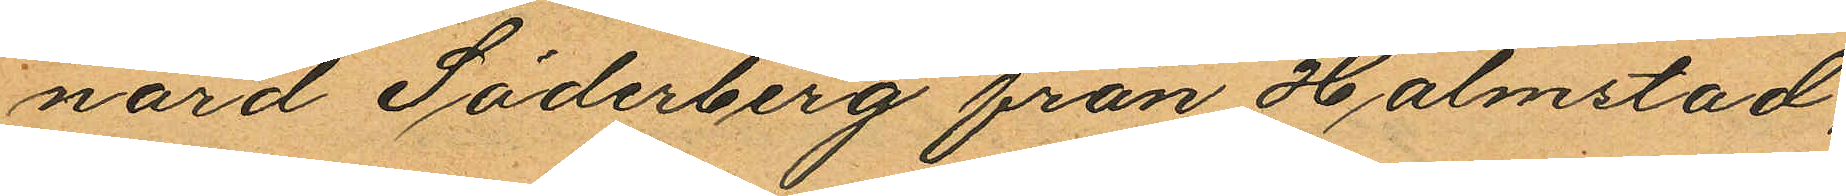nard Söderberg från Halmstad,
